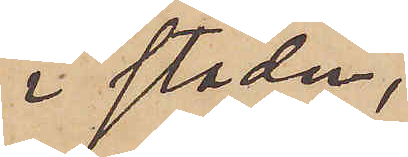i staden,
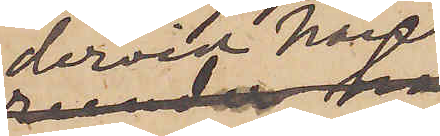dervid han
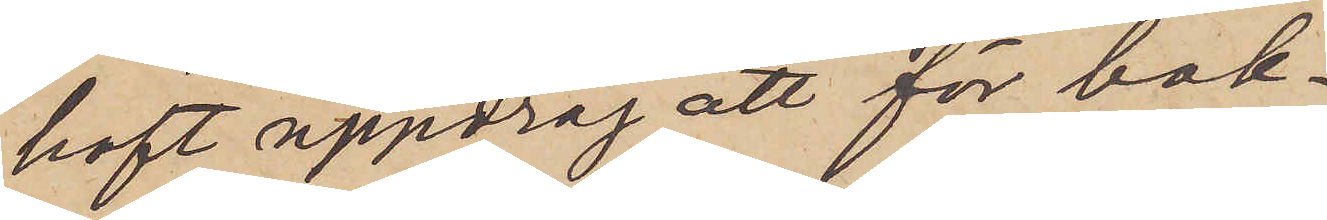haft uppdrag att för bok¬
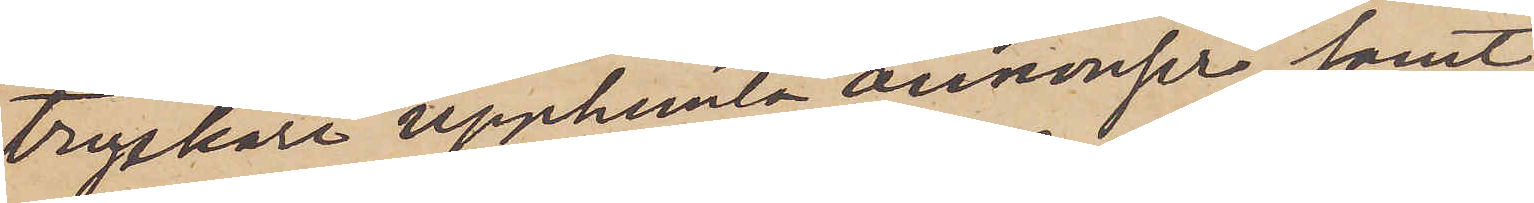tryckare upphemta annonser samt
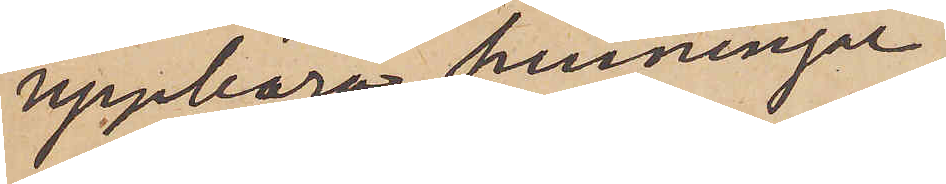uppbära penningar,
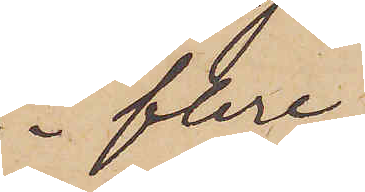 i flere
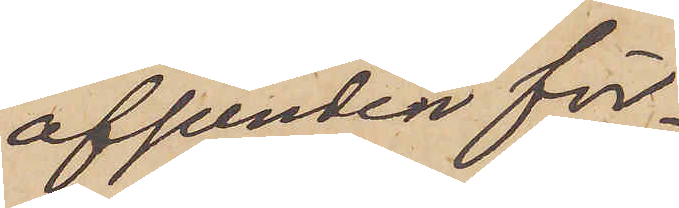afseenden för¬
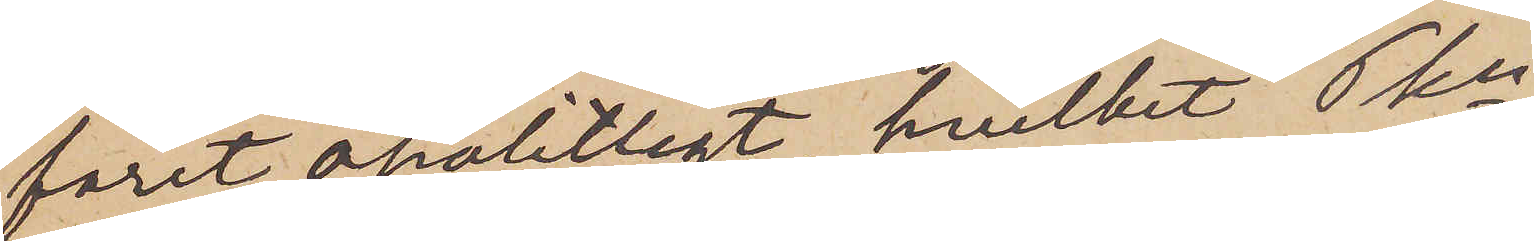farit opålitligt, hvilket Pkn
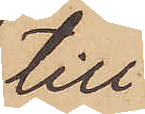till
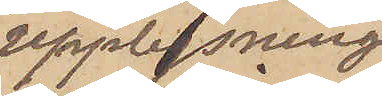upplysning
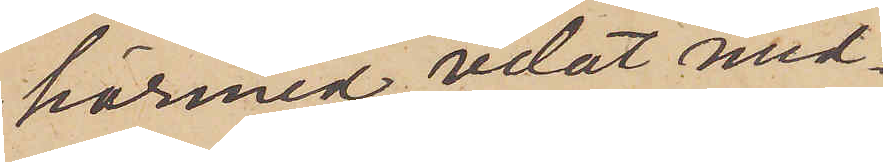härmed velat med¬
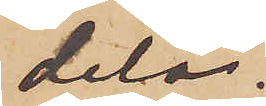dela.
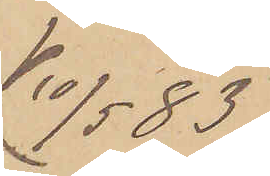10/5 83
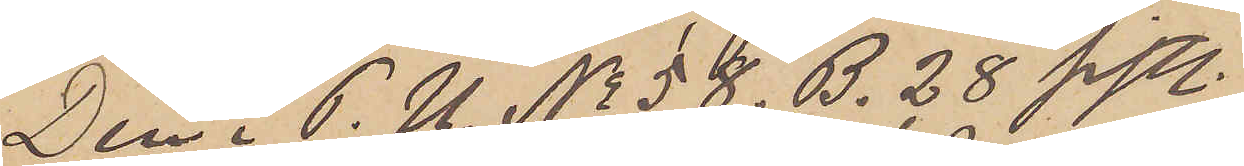Den i P.U. No 58. B. 28 sistl.
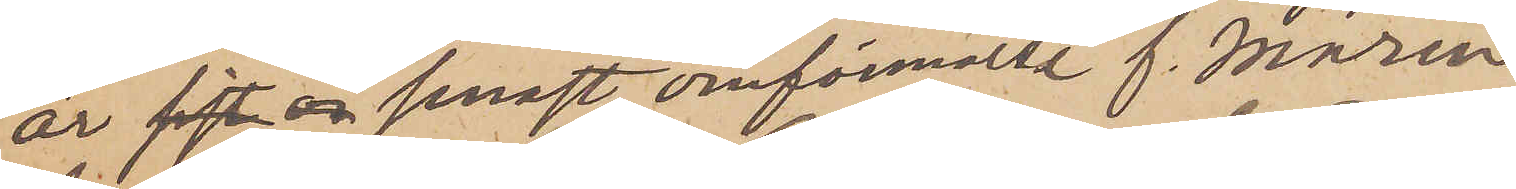år sist senast omförmälde f. marin
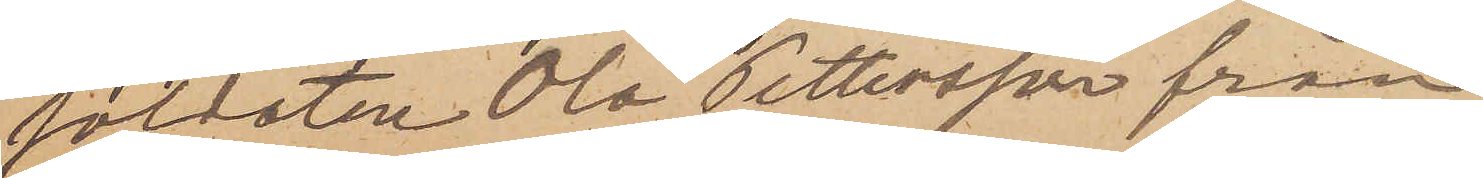soldaten Ola Pettersson från
